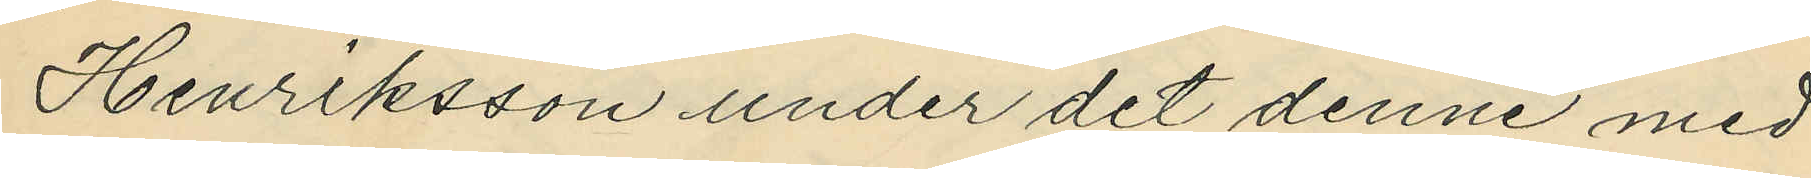Henriksson under det denne med
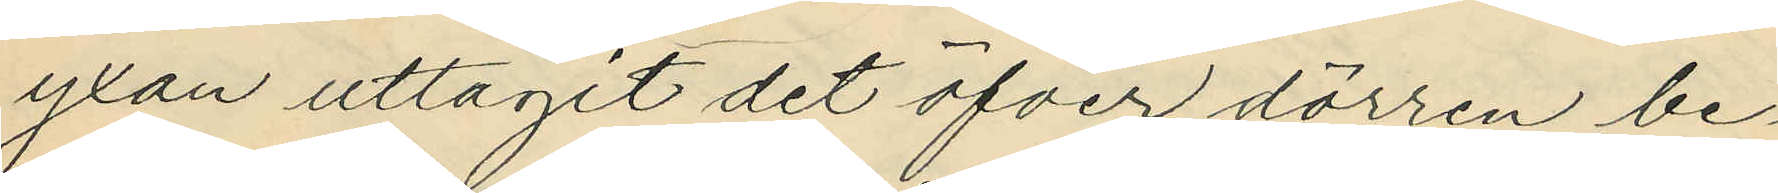yxan uttagit det öfver dörren be¬
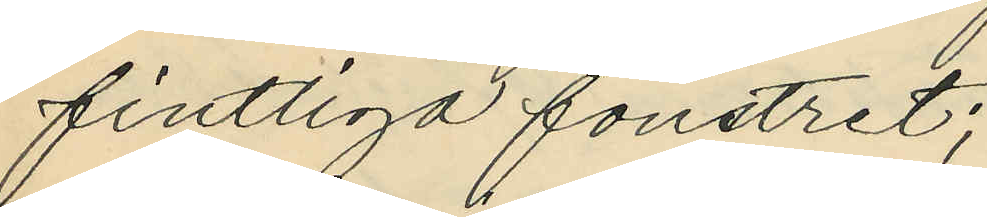fintliga fönstret;
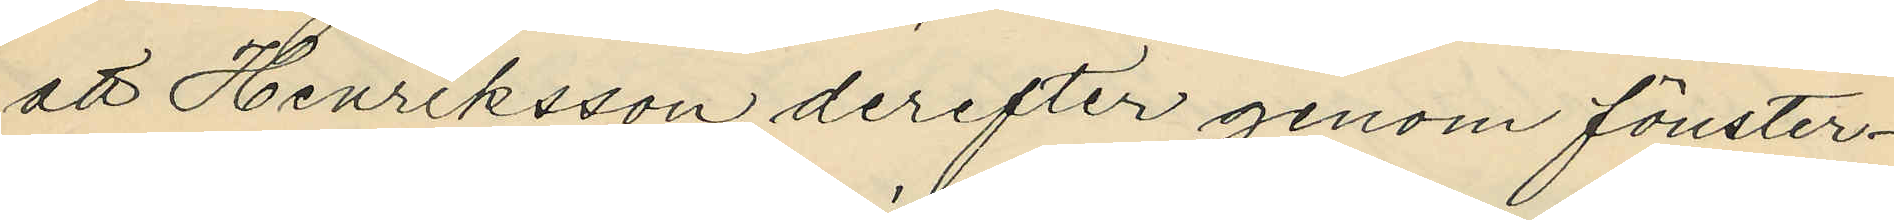att Henriksson derefter genom fönster¬
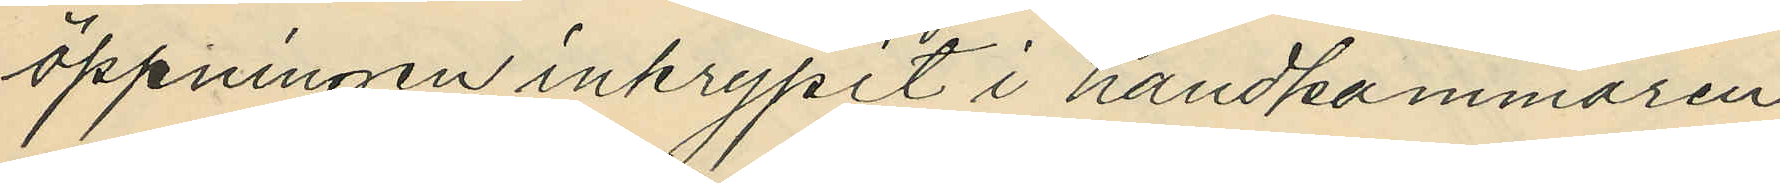öppningen inkrypit i handkammaren
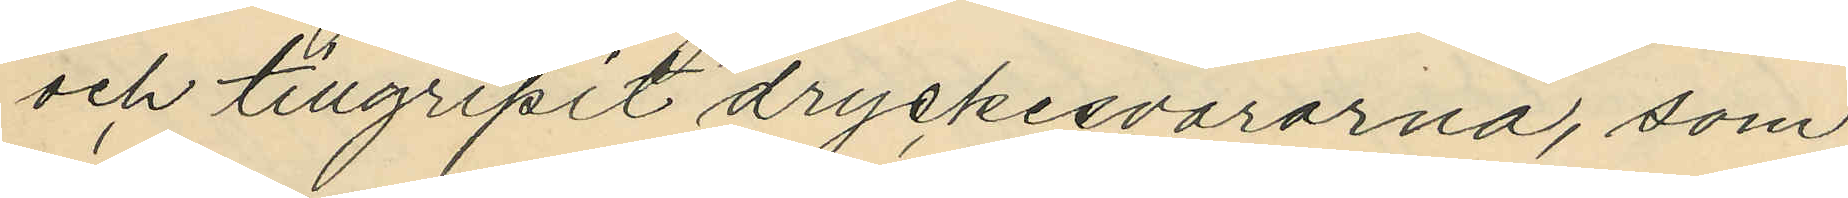och tillgripit dryckesvarorna, som
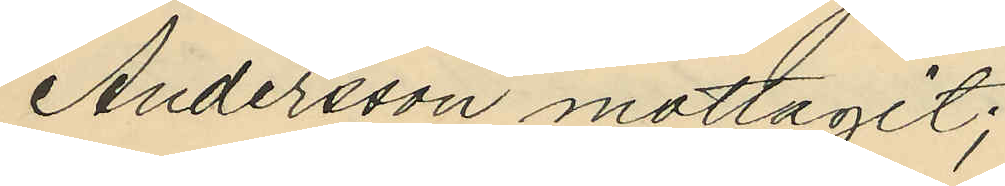Andersson mottagit;
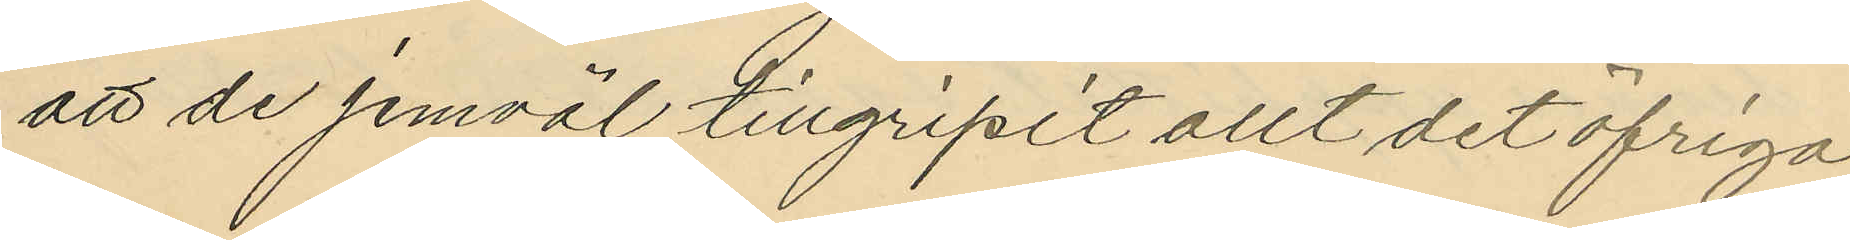att de jemväl tillgripit allt det öfriga
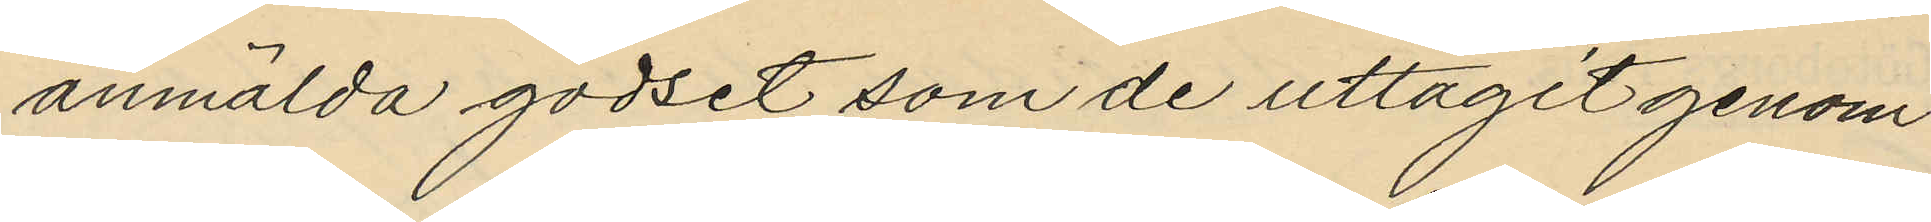anmälda godset som de uttagit genom
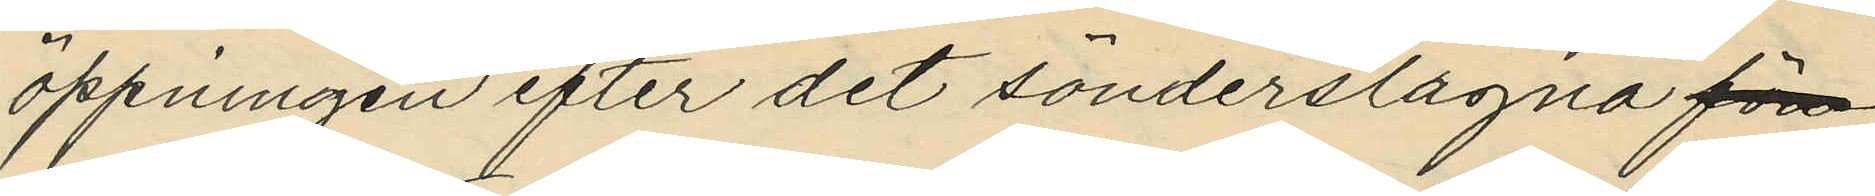öppningen efter det sönderslagna fön
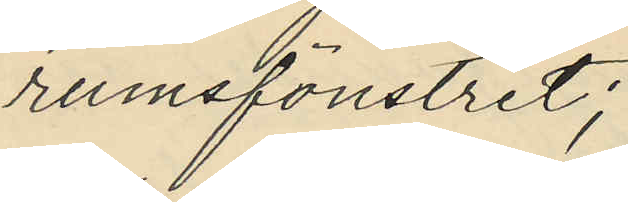rumsfönstret;
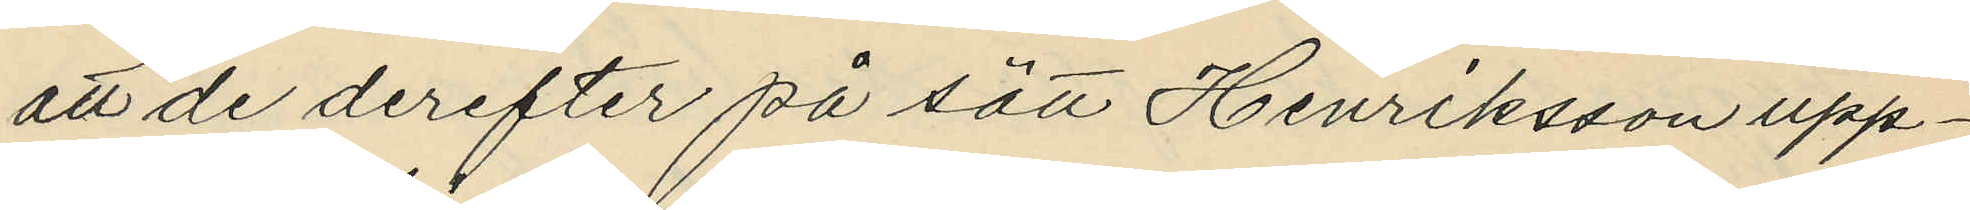att de derefter på sätt Henriksson upp¬
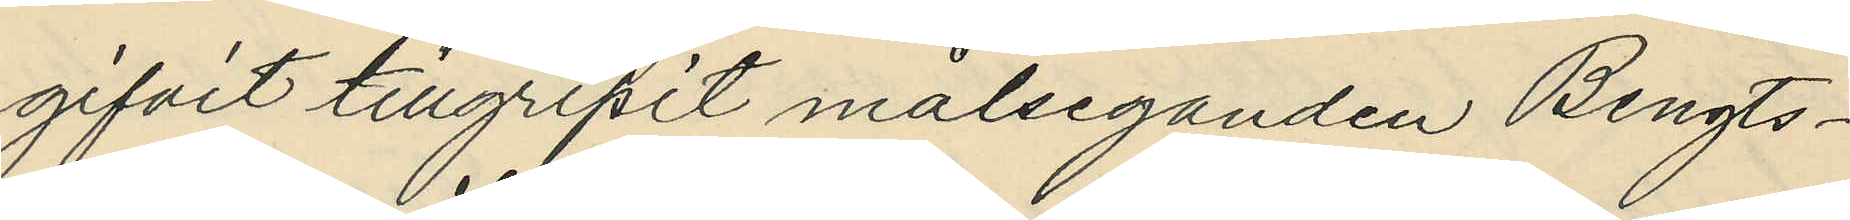gifvit tillgripit målseganden Bengts¬
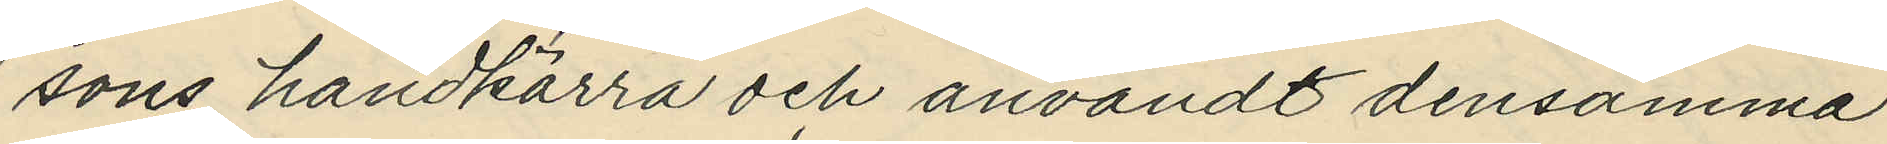sons handkärra och användt densamma
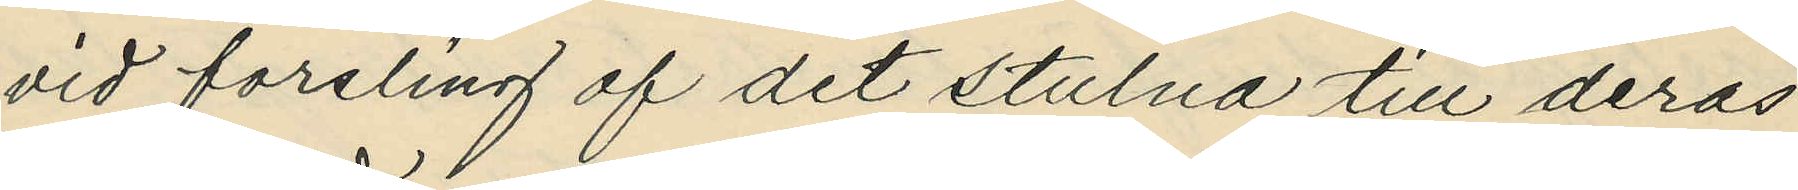vid forsling af det stulna till deras
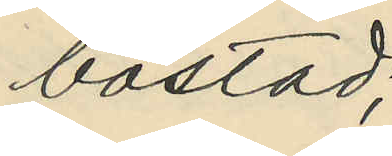bostad;
